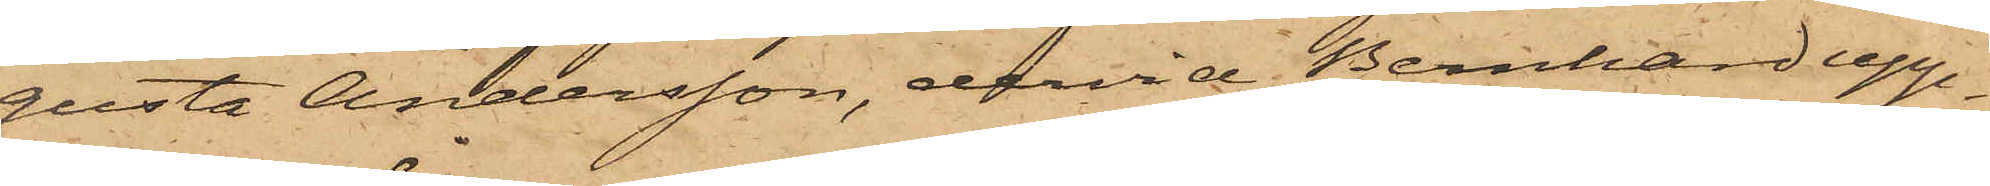gusta Andersson, dervid Bernhard upp¬
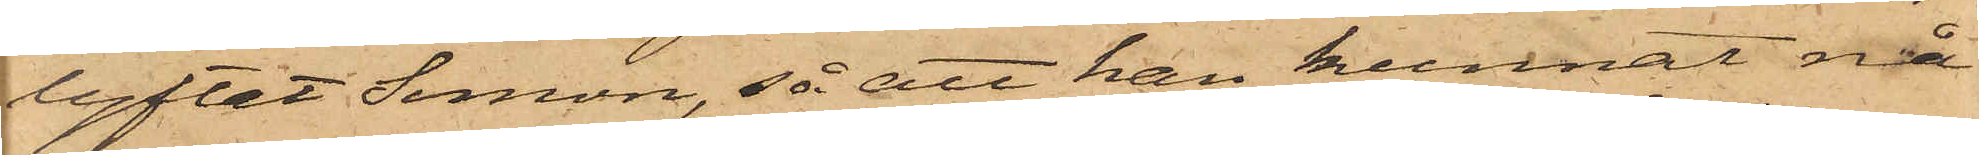lyftat Simon, så att han kunnat nå
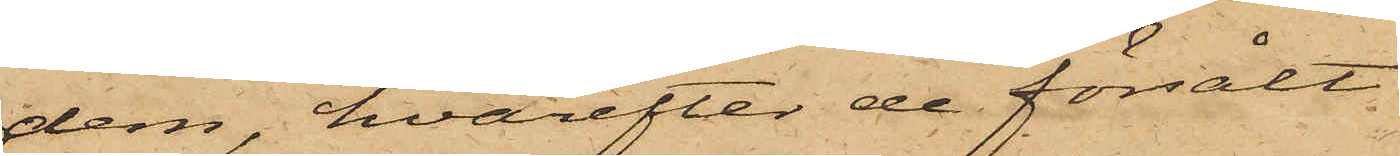dem, hvarefter de försålt
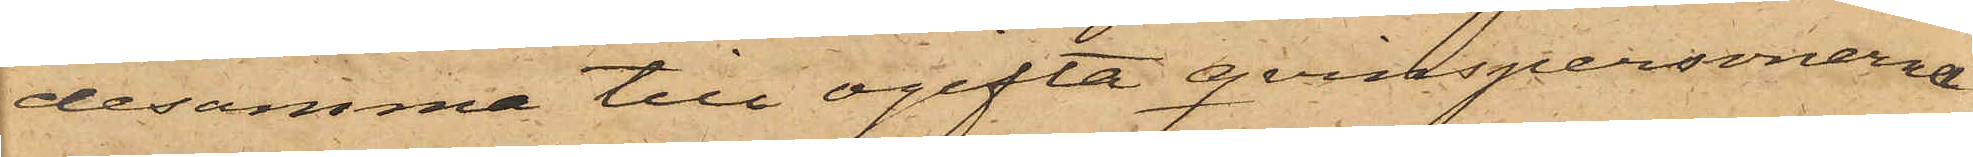desamma till ogifta qvinspersonerna
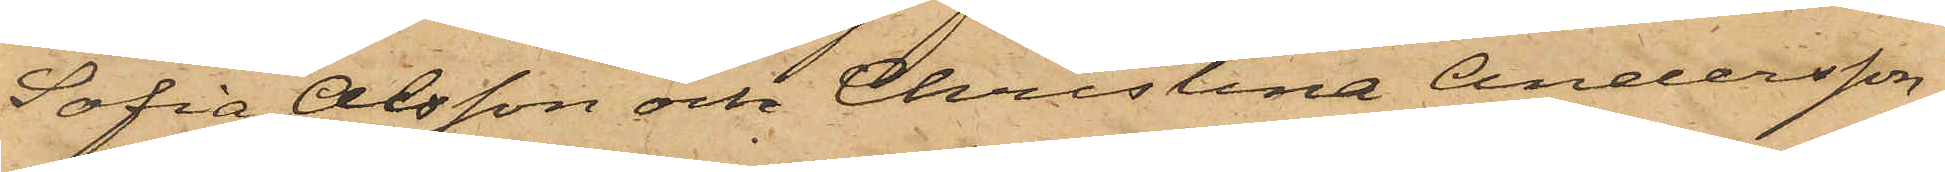Sofia Olsson och Christina Andersson,
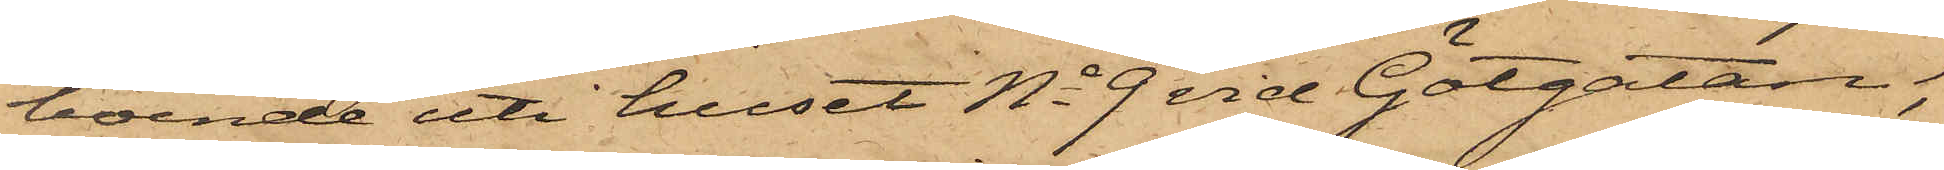boende uti huset No 9 vid Götgatan,
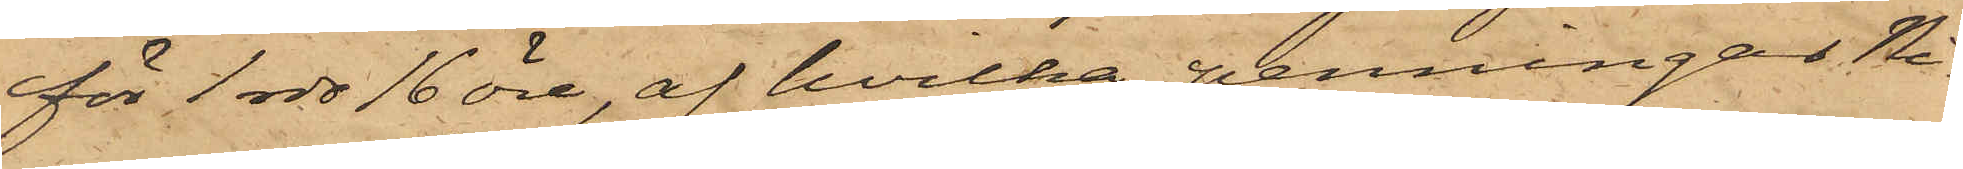för 1 rdr 16 öre, af hvilka penningar Ni¬
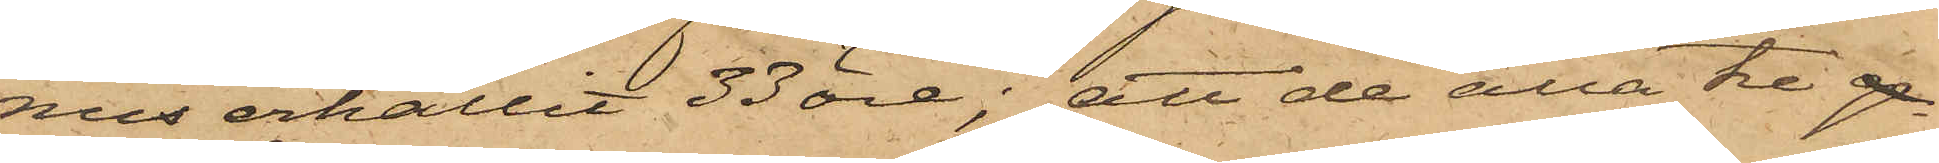nus erhållit 33 öre; att de alla tre ge
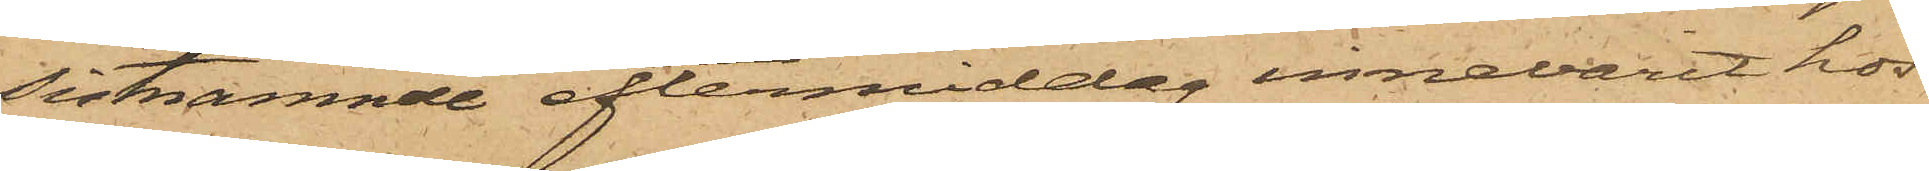sistnämnde eftermiddag innevarit hos
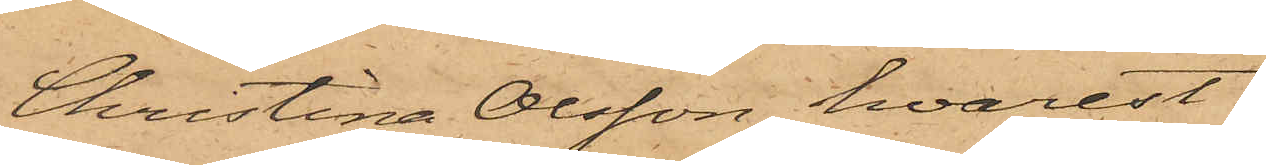Christina Olsson, hvarest
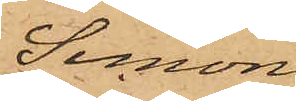Simon
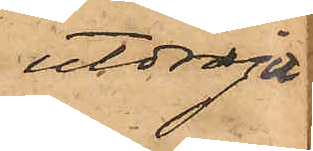utdragit
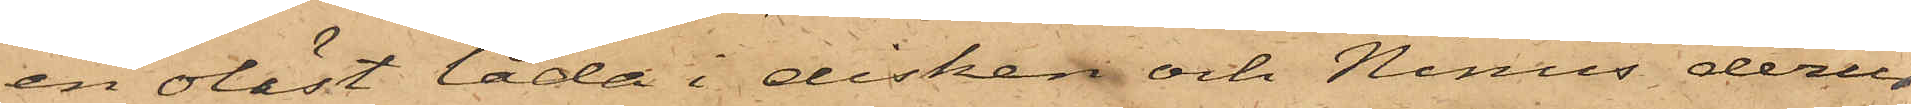en olåst låda i disken och Ninus derur
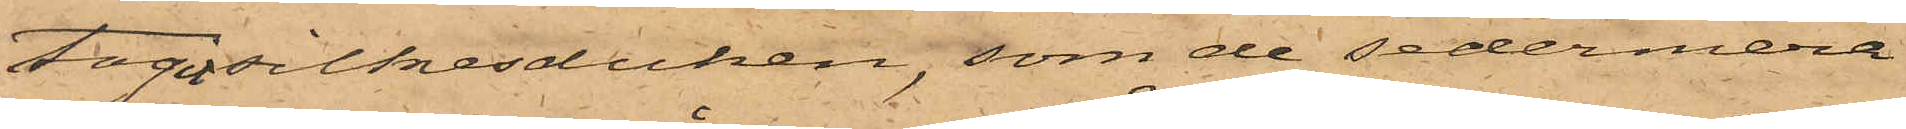tagit silkesduken, som de sedermera
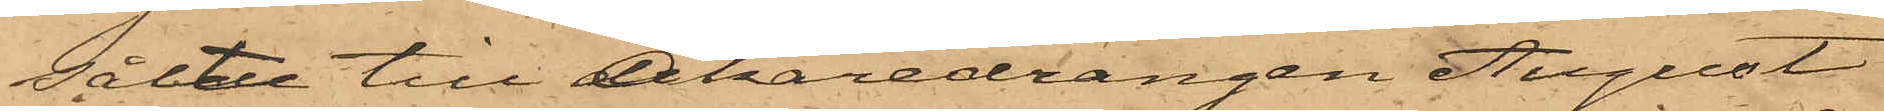sålde till Åkaredrängen August
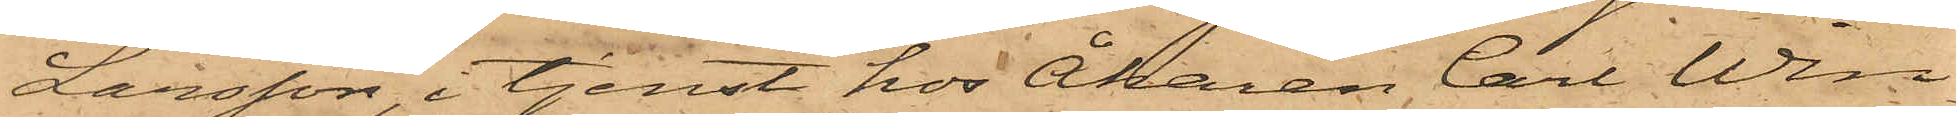Larsson, i tjenst hos Åkaren Carl Win¬
